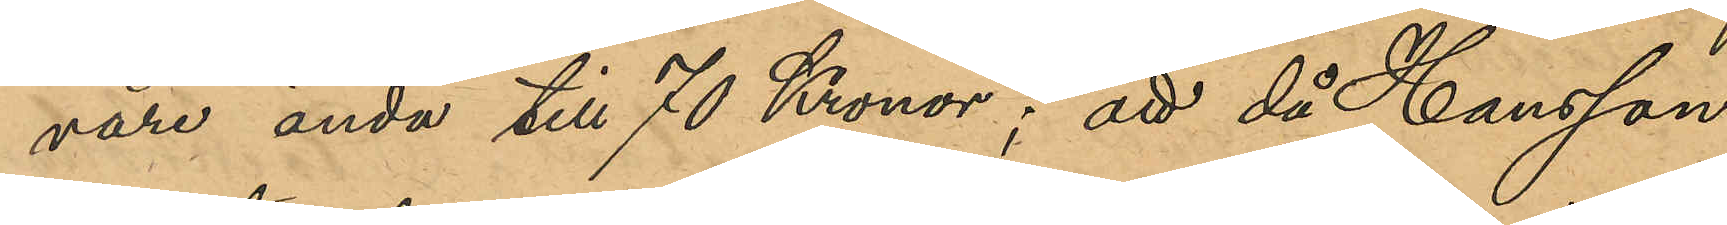vare ända till 70 Kronor; att då Hansson
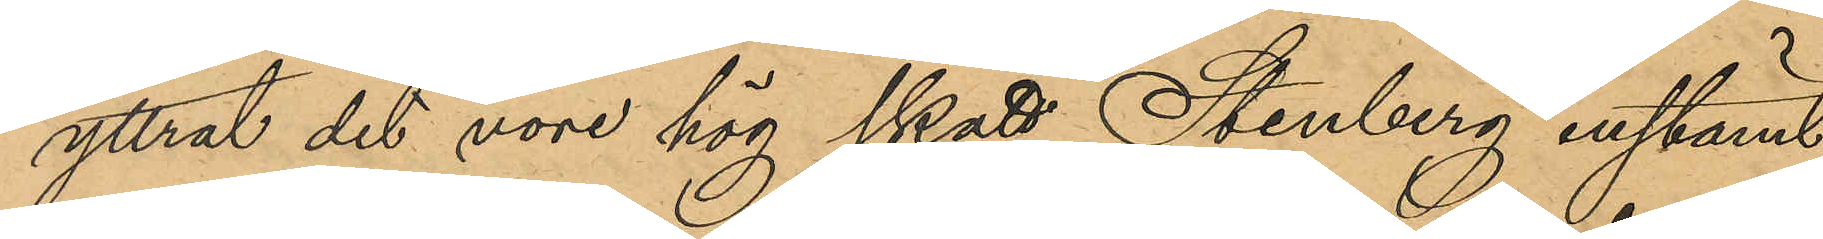yttrat det vore hög skatt, Stenberg instämt
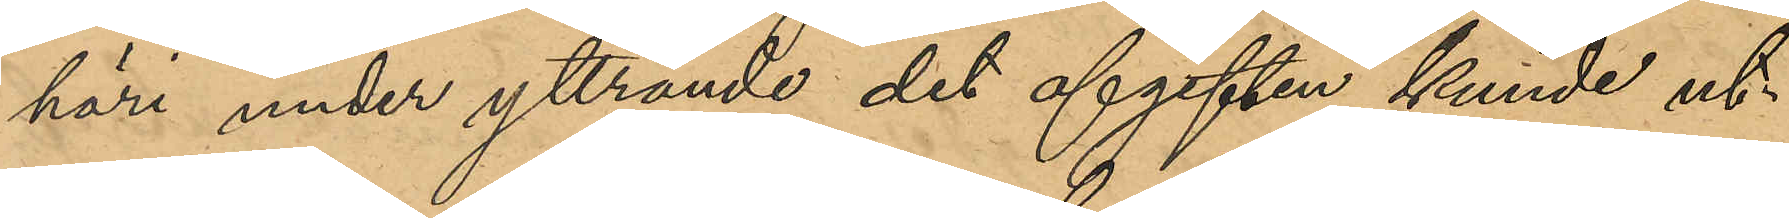häri, under yttrande det afgiften kunde ut¬
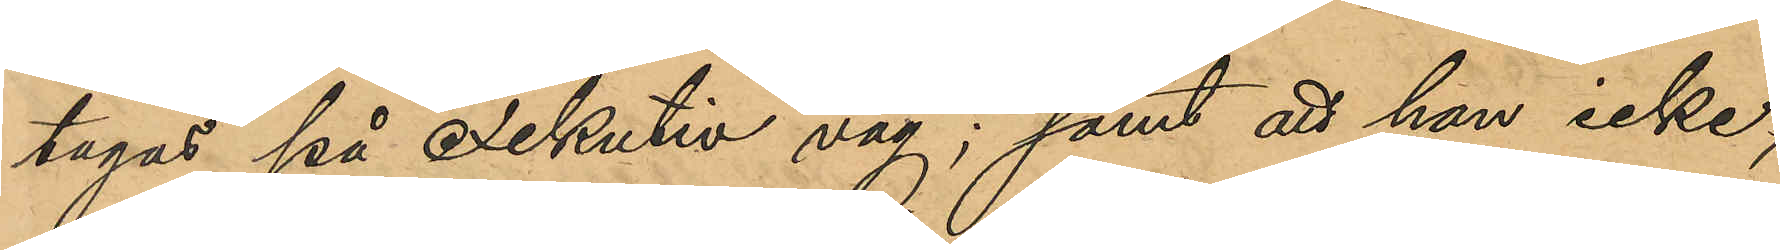tagas på exekutiv väg; samt att han icke,
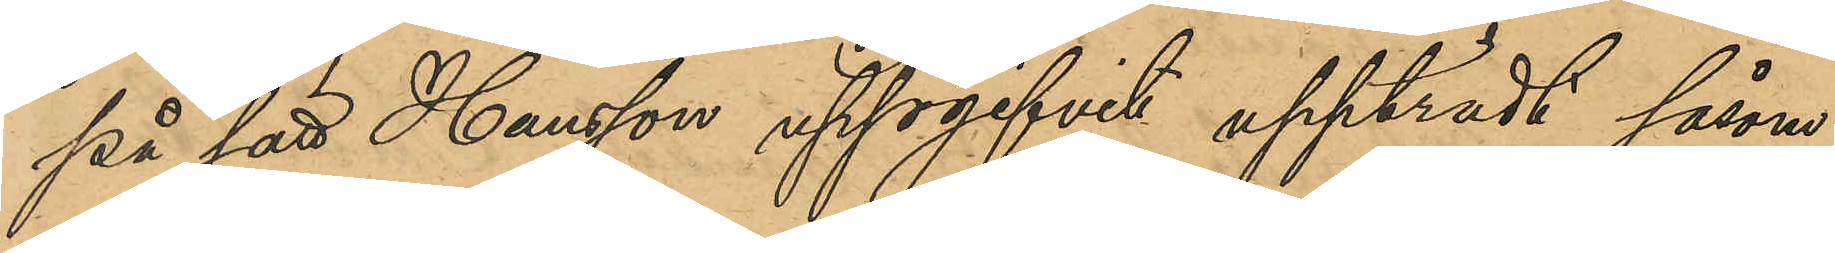på sätt Hansson uppgifvit uppträdt såsom
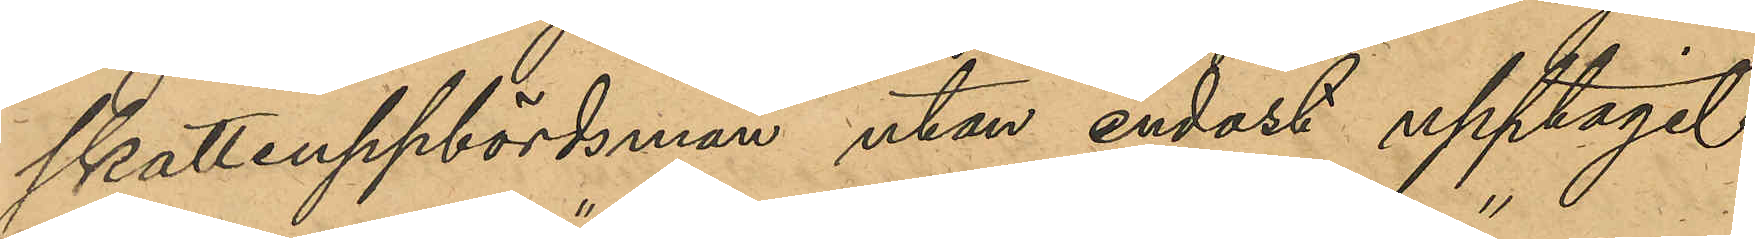skatteuppbördsman utan endast upptagit
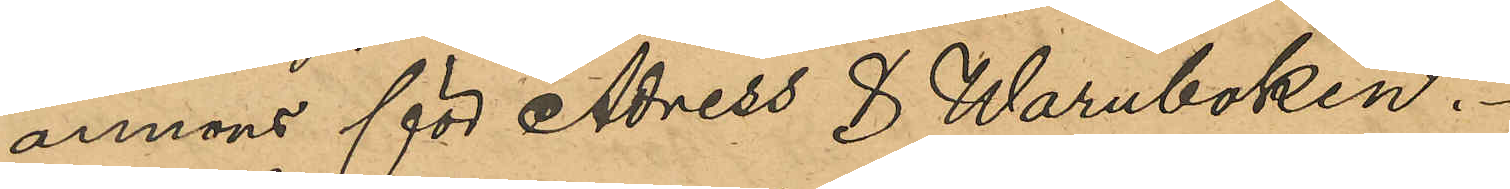annons för "Adress & Waruboken".
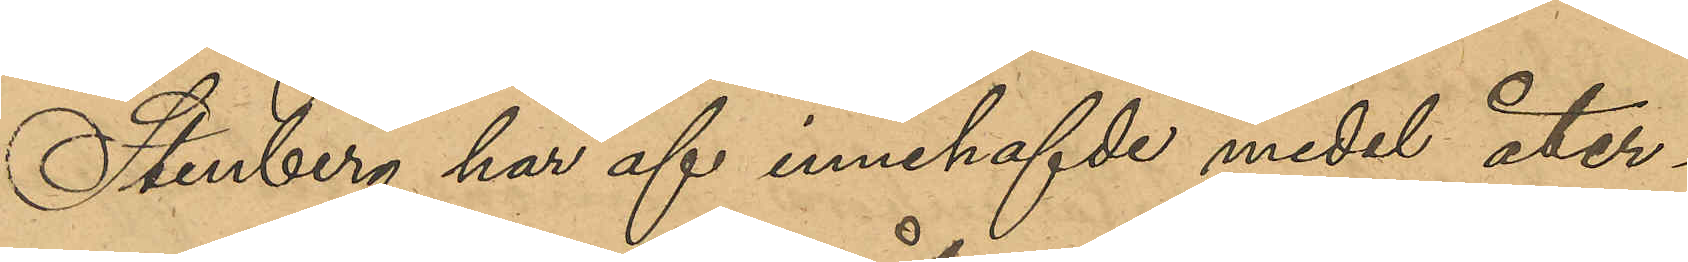Stenberg har af innehafvde medel åter¬
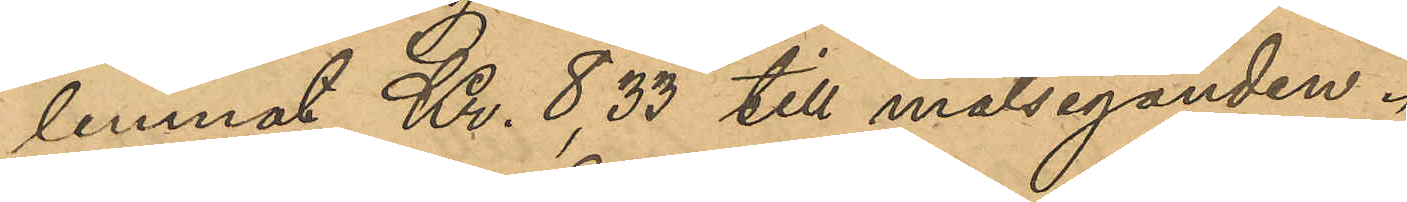lemnat Kr. 8,33 till målseganden.
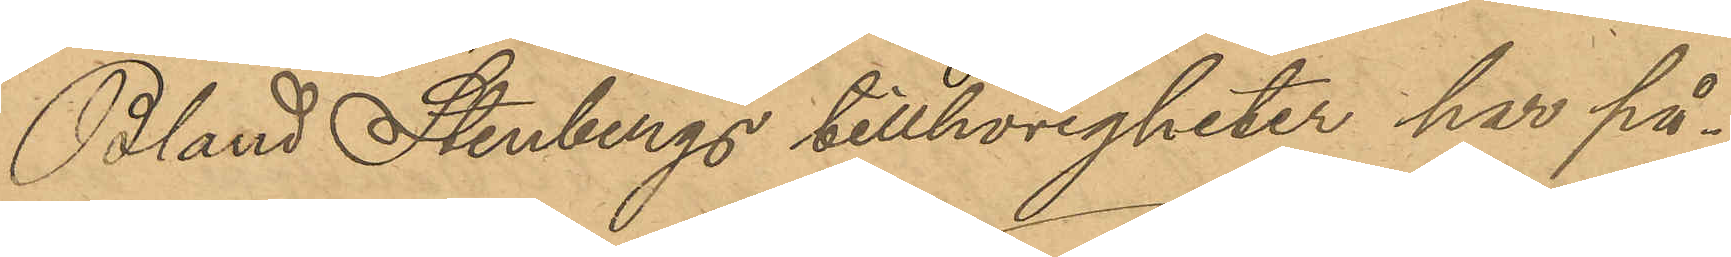Bland Stenbergs tillhörigheter ha på¬
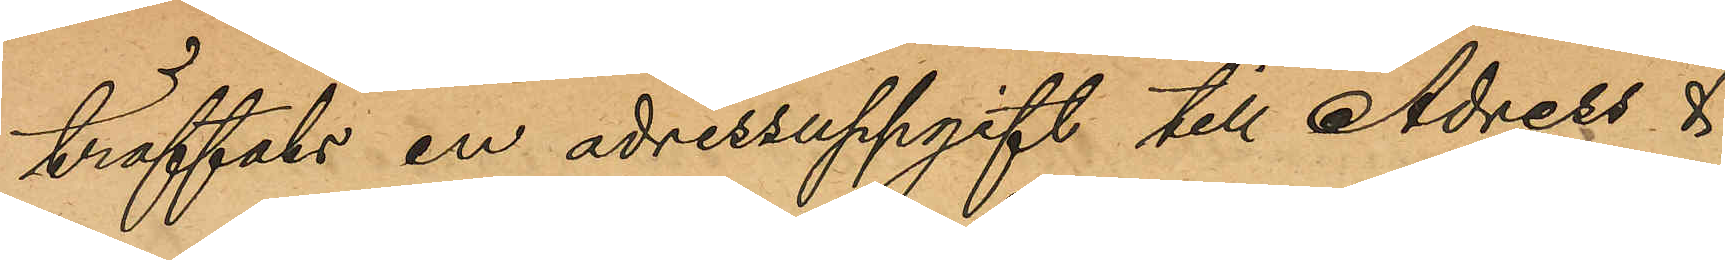träffats en adressuppgift till Adress & 
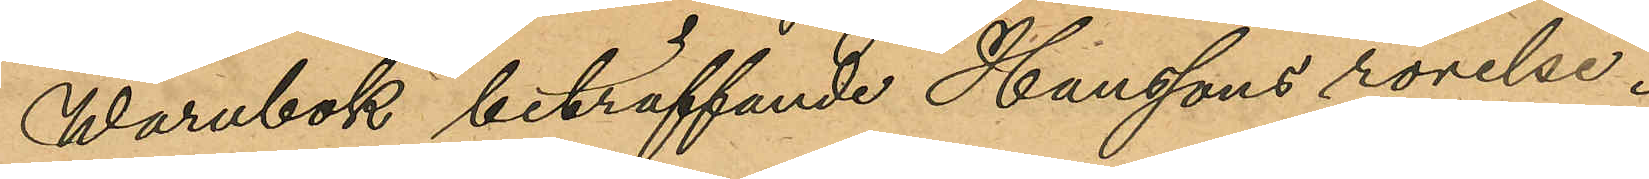Warubok beträffande Hanssons rörelse.
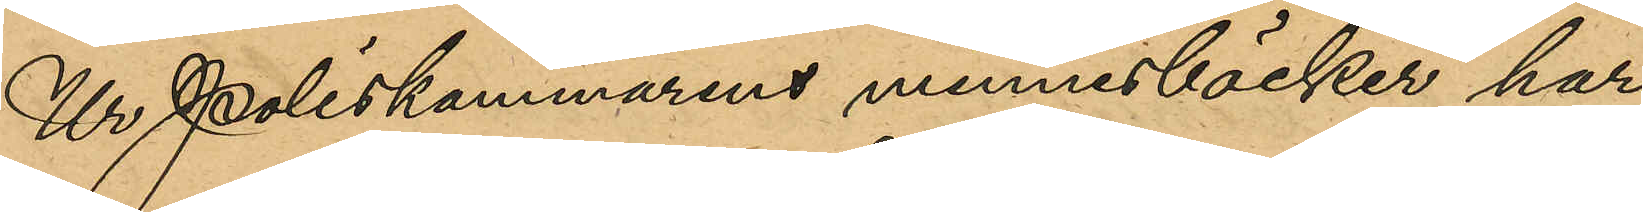Ur Poliskammarens minnesböcker har
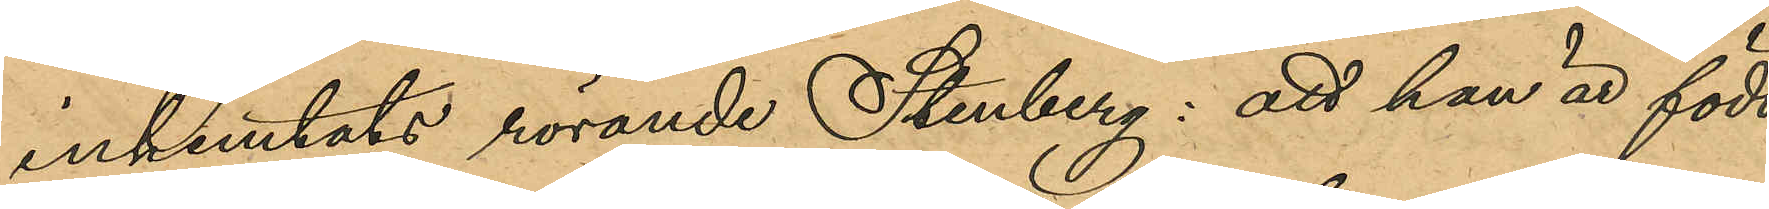inhemtats rörande Stenberg: att han är född
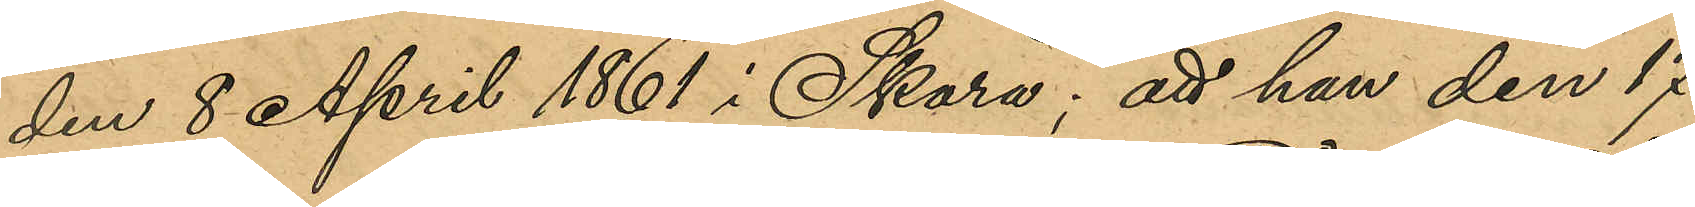den 8 April 1861 i Skara; att han den 17
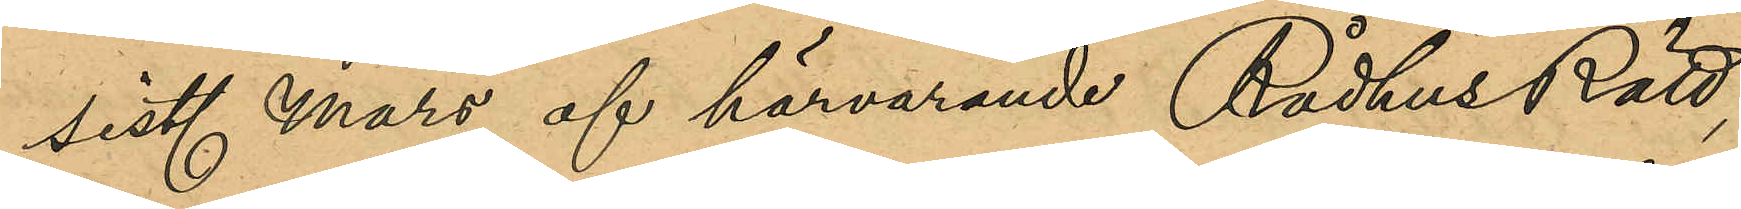sist. Mars af härvarande Rådhusrätt,
